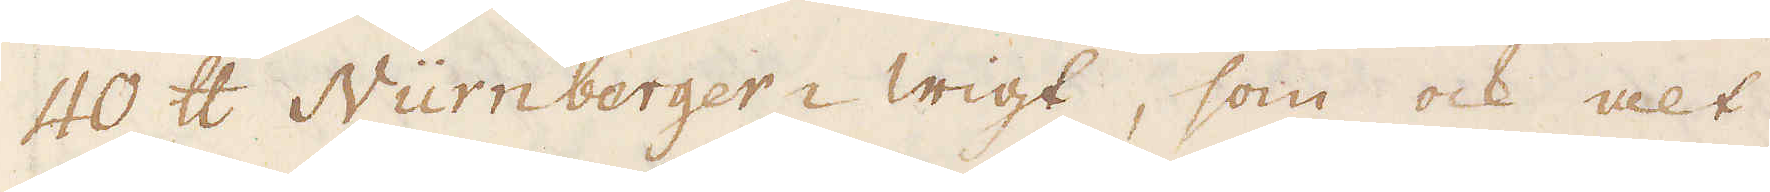40 skålpund Nürnberger-wigt, som ock alt
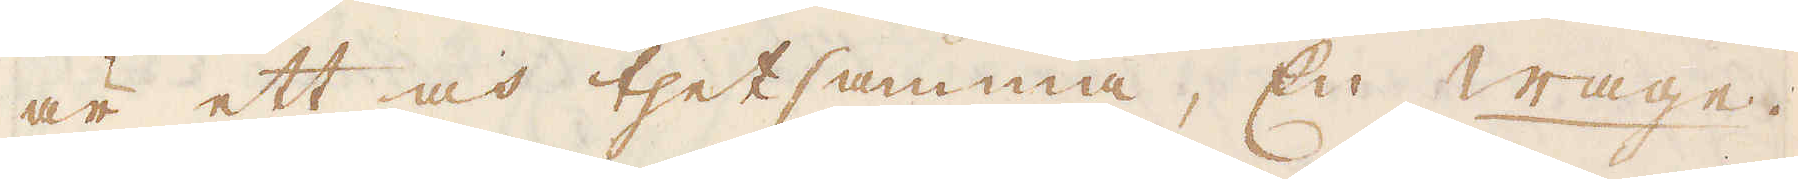är ett och thet samma, En Wage
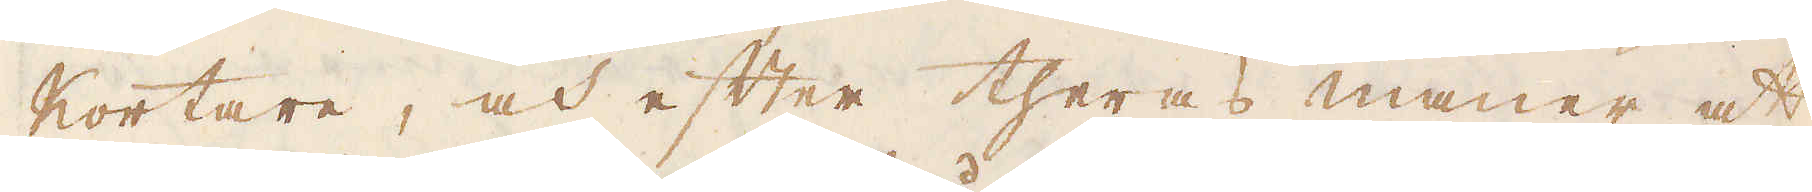kortare, och efter theras maner att
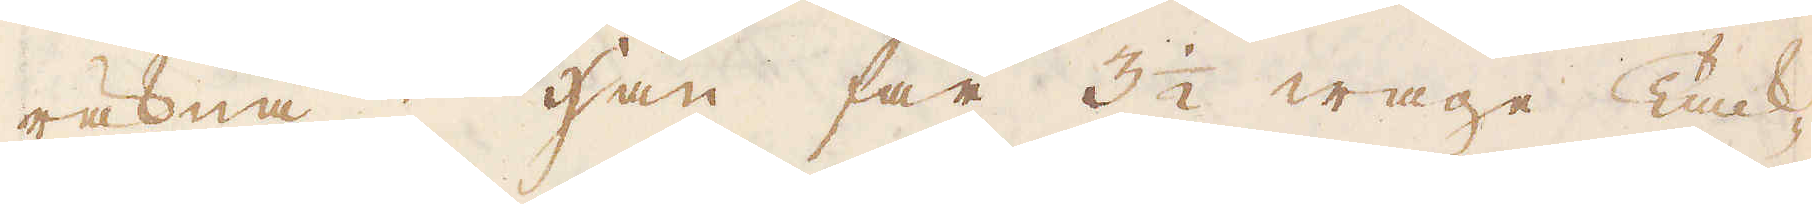räkna; Han far 3 1/2 wage Tack-
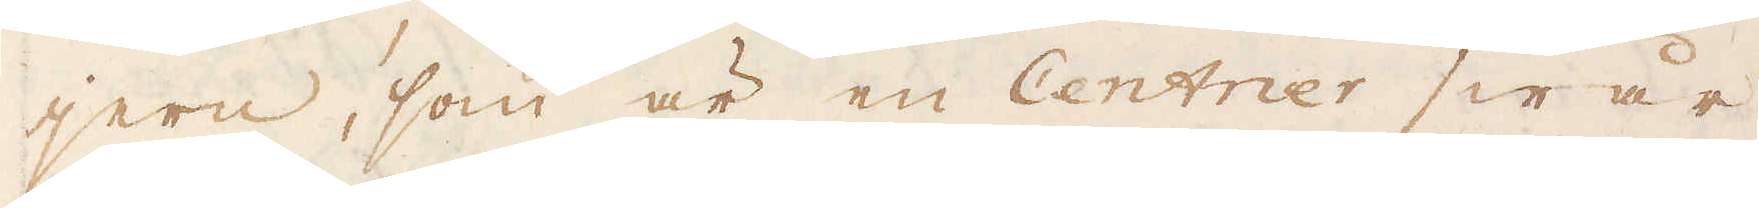jern, som är en Centner swår
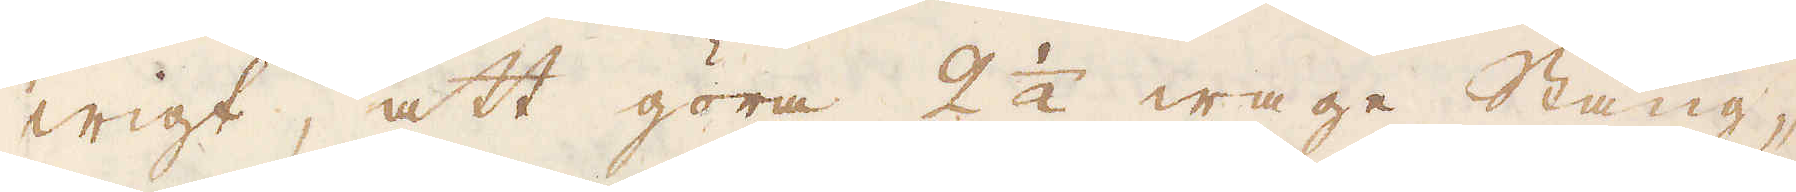wigt, att göra 2 1/2 wage Stång-
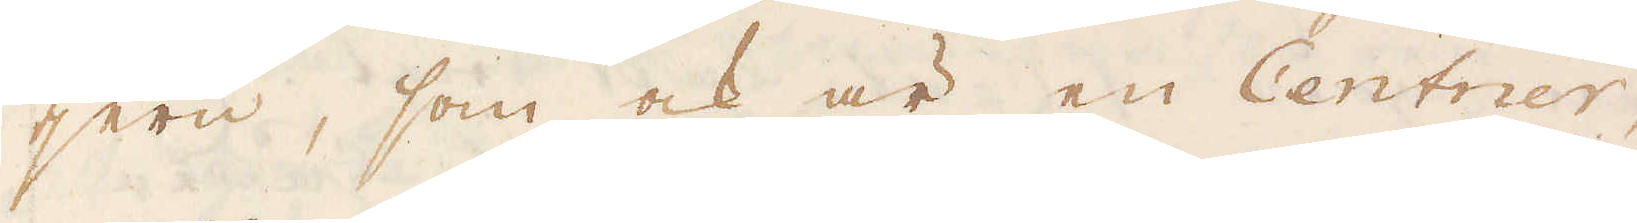jern, som ock är en Centner,
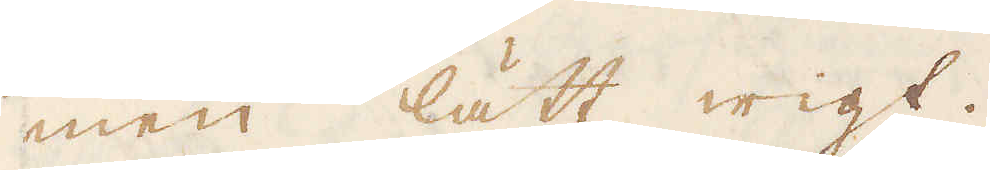men lätt wigt.
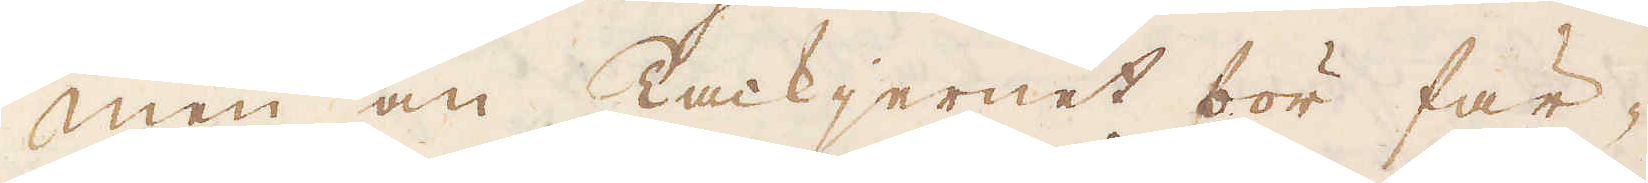Men om Tackjernet bör fär-
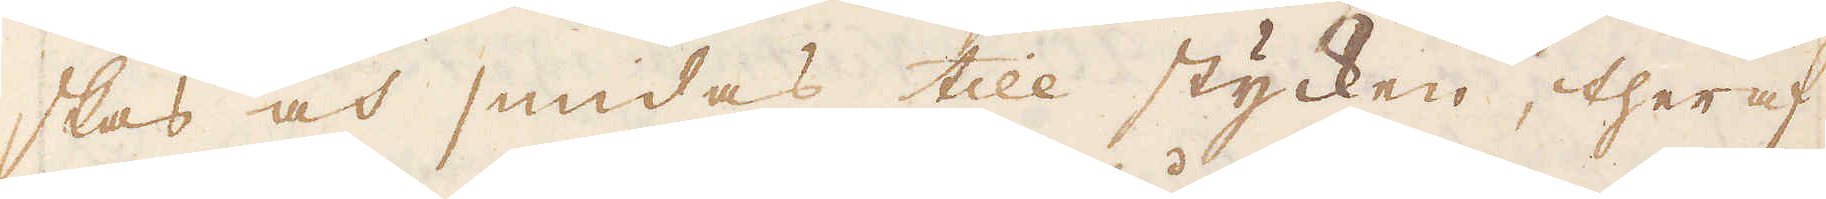skas och smidas till stycken, theraf
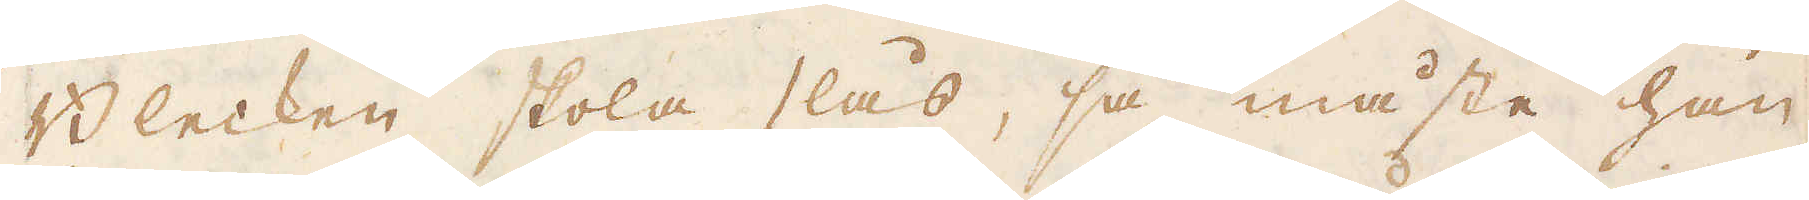Blecken skola slås, så måste han
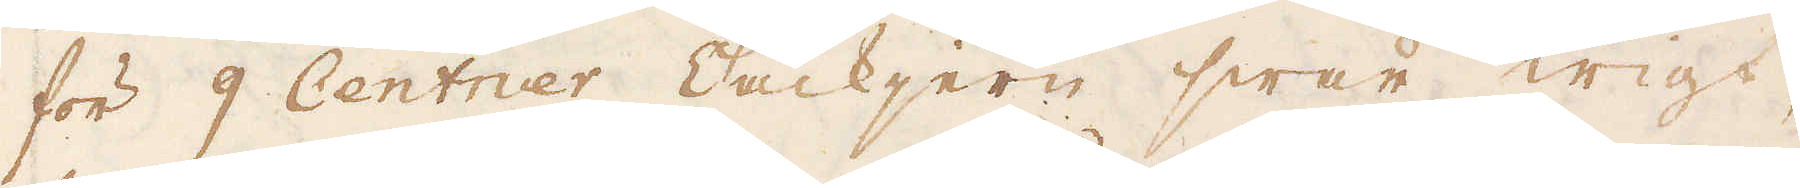för 9 Centner Tackjern swår wigt,
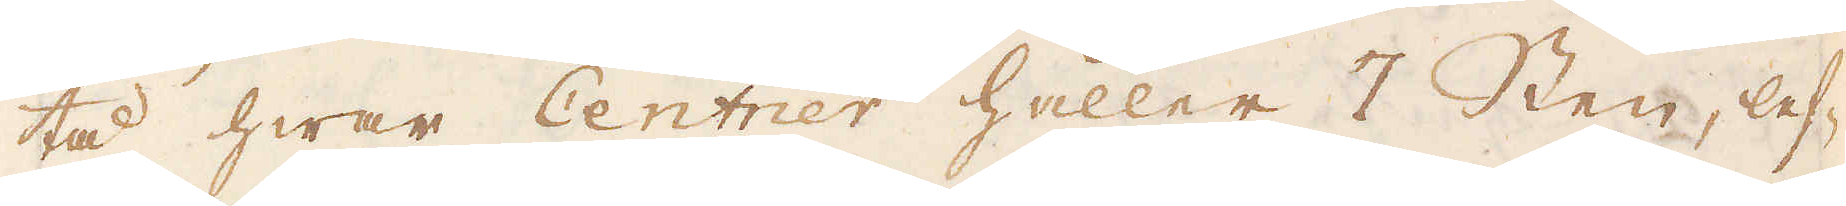tå hwar Centner håller 7 Sten, lef-
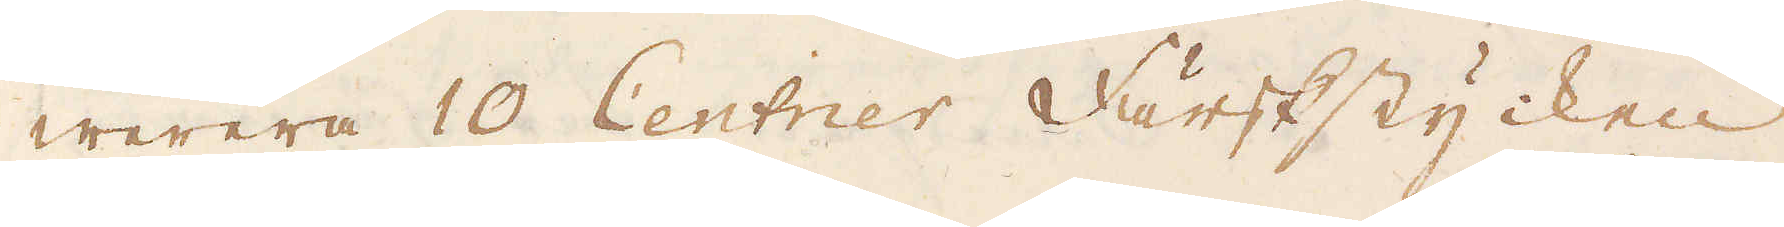werera 10 Centner Färskstycken
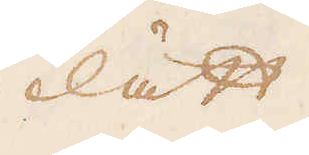lätt
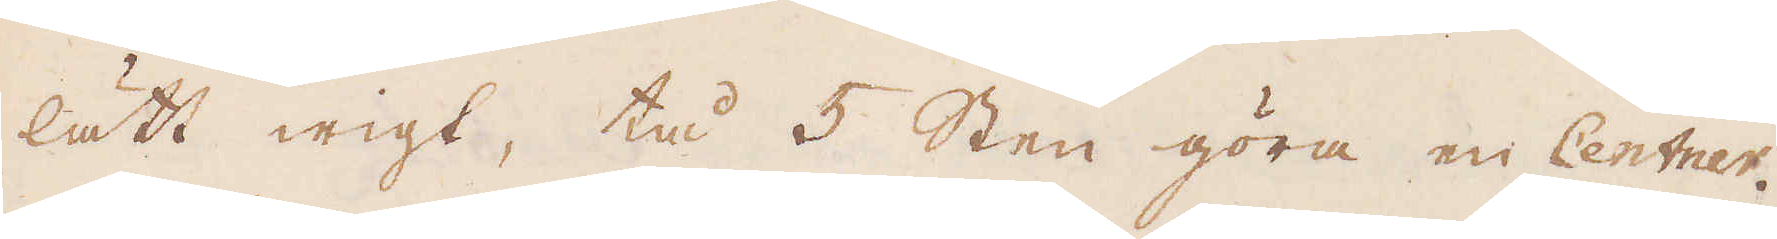lätt wigt, tå 5 Sten göra en Centner.
